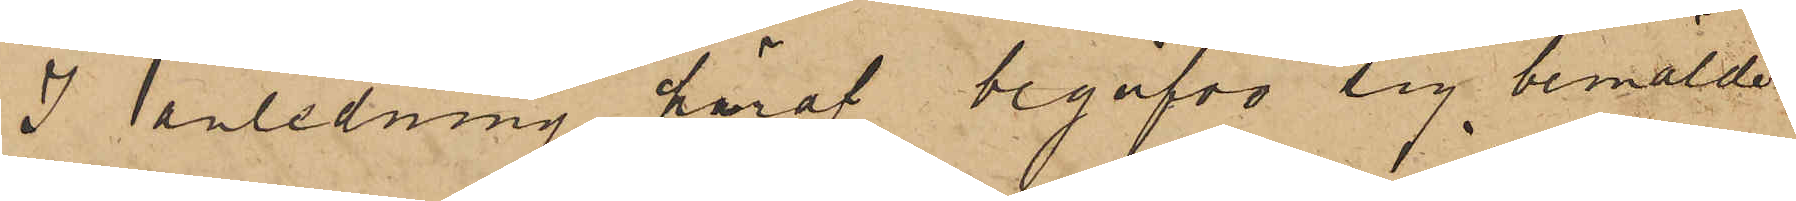I anledning häraf begåfvo sig bemälde
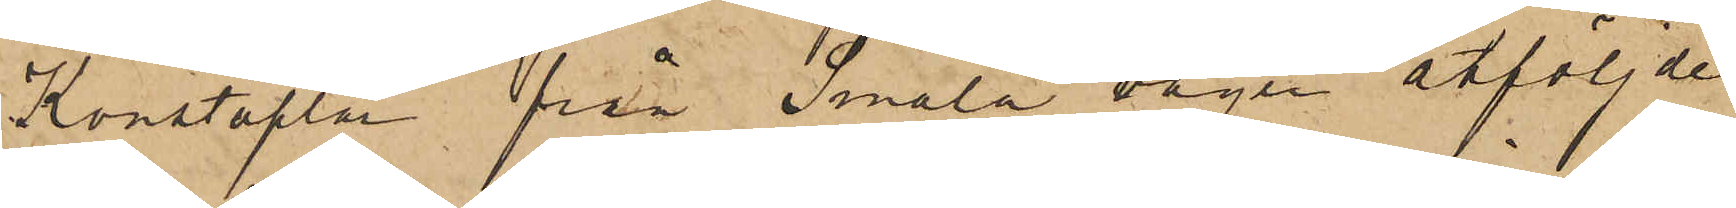Konstaplar från Smala vägen åtföljde
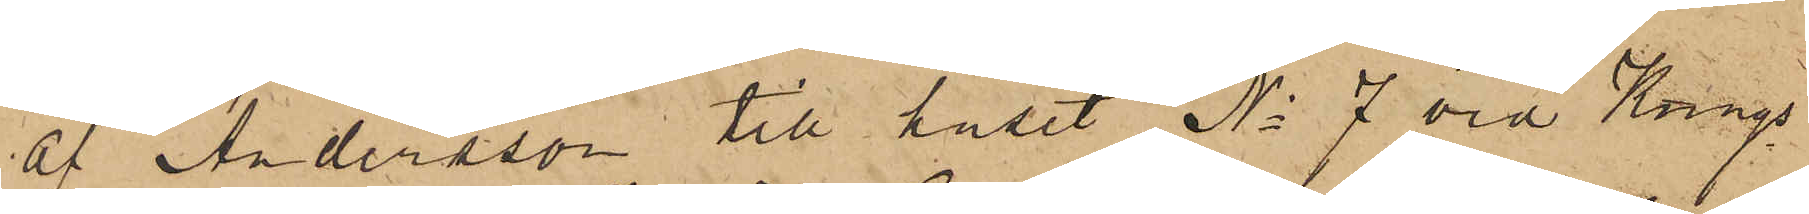af Andersson till huset No 7 vid Kungs¬
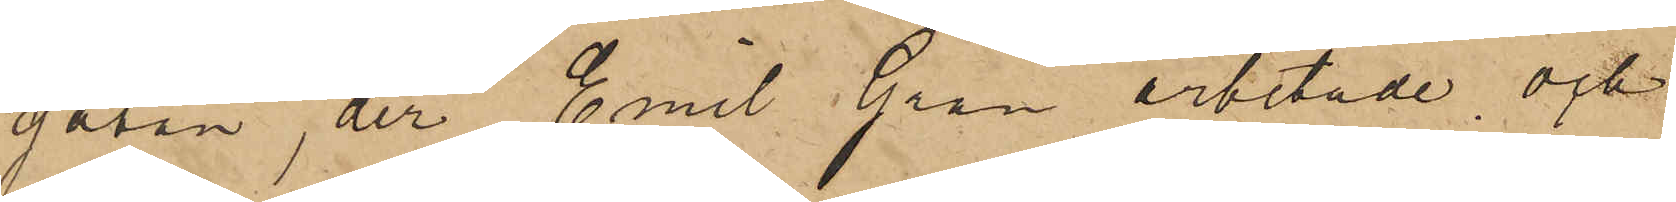gatan, der Emil Gran arbetade och
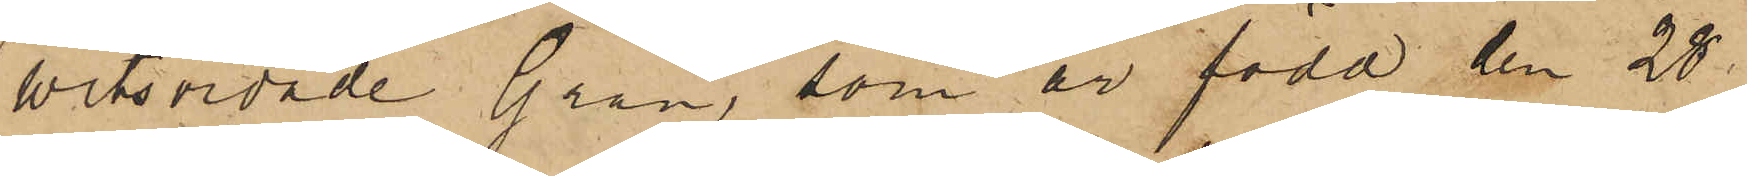witsordade Gran, som är född den 28
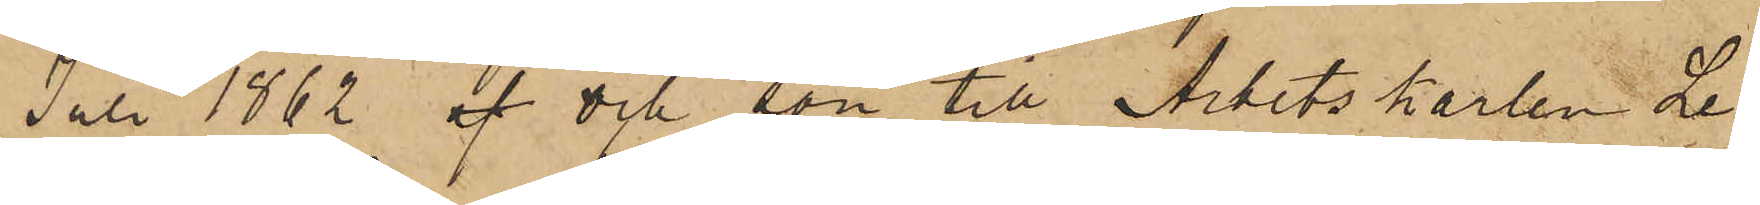Juli 1862 af och son till Arbetskarlen Le¬
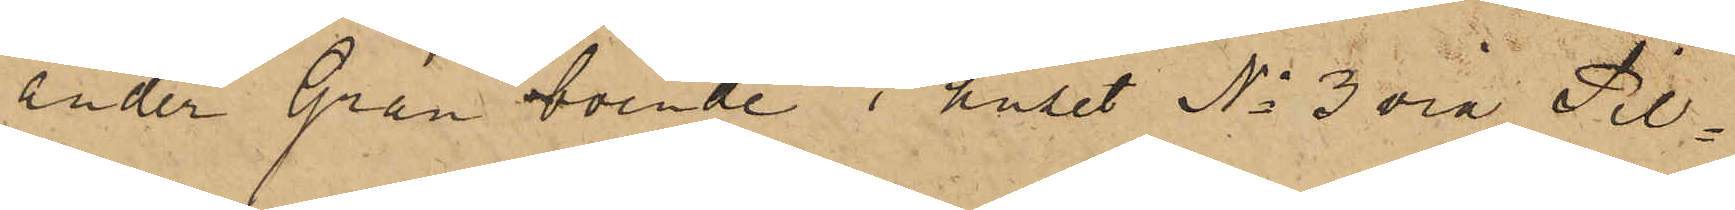ander Gran boende i huset No 3 vid Pil¬
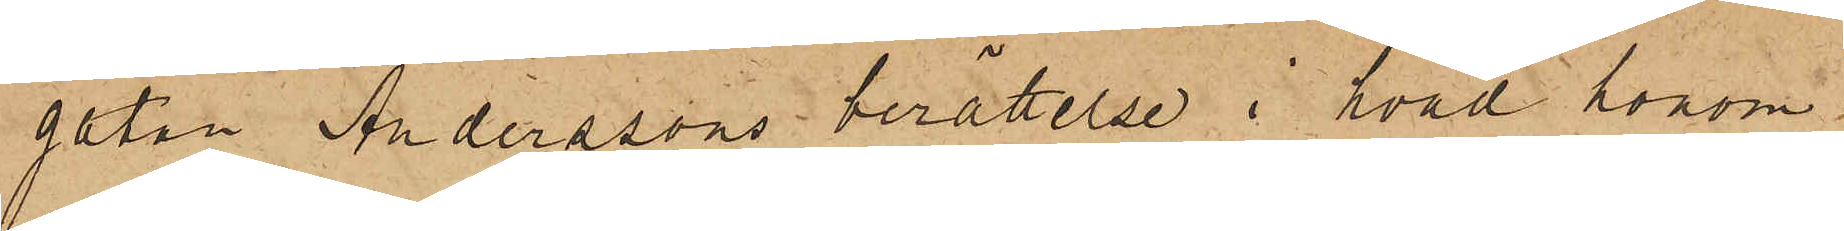gatan, Anderssons berättelse i hvad honom
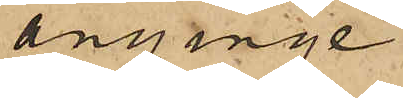anginge
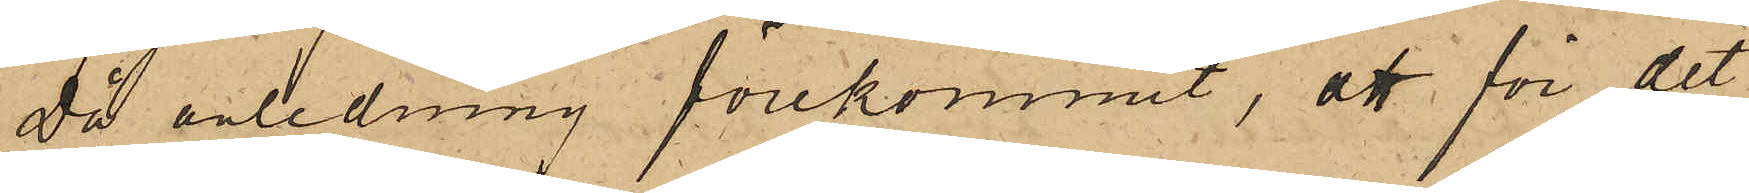Då anledning förekommit, att för det
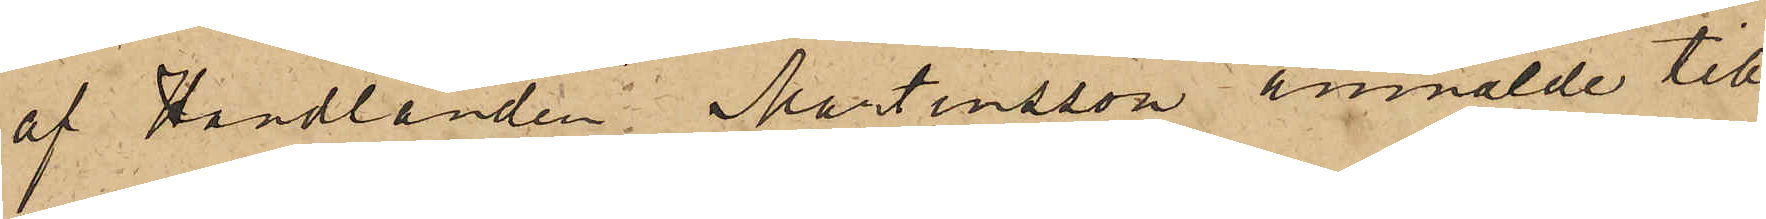af Handlanden Martinsson anmälde till¬
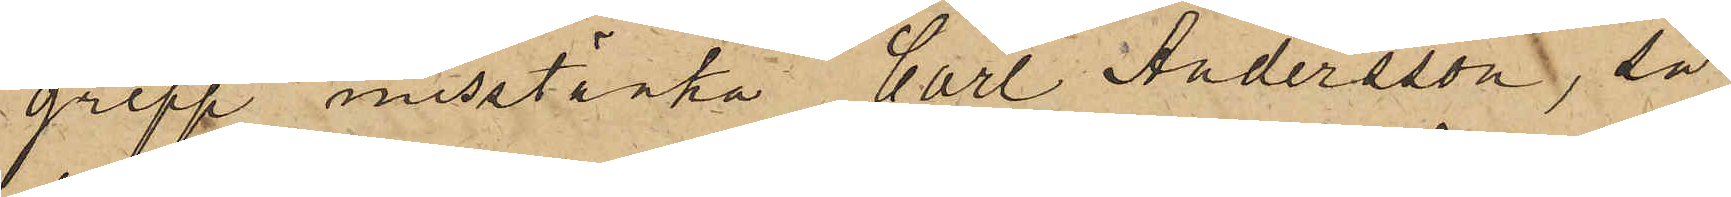grepp misstänka Carl Andersson, så
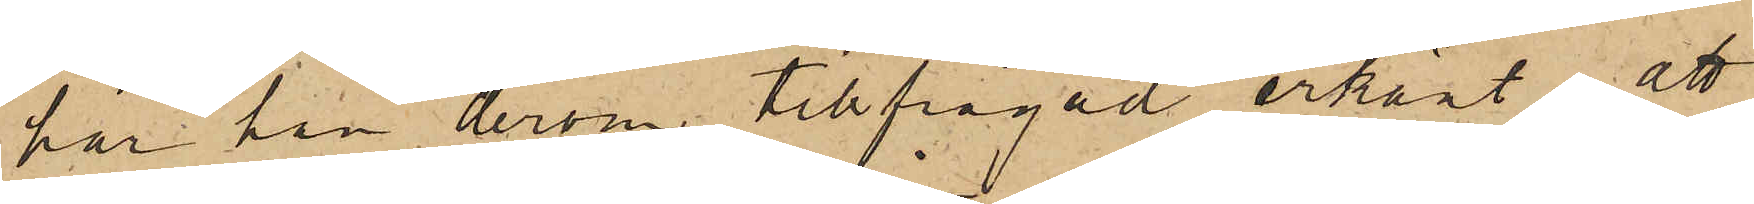har han derom tillfrågad erkänt, att
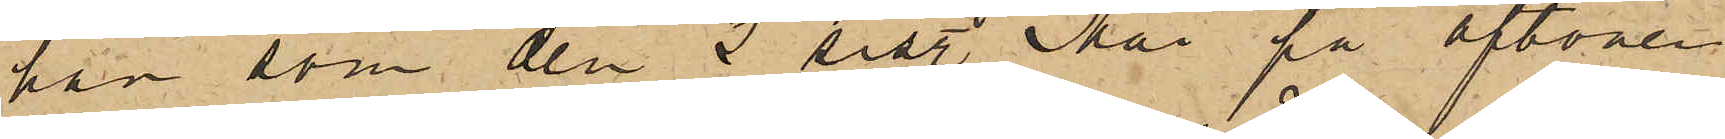han som den 2 sist. Mai på aftonen
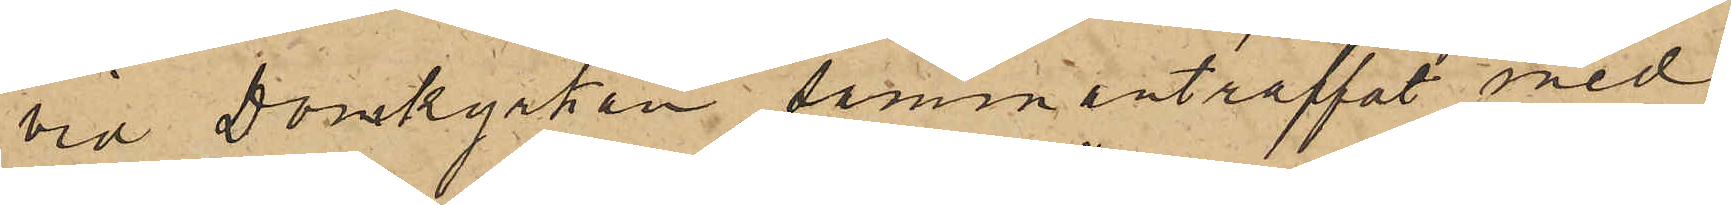vid Domkyrkan sammanträffat med
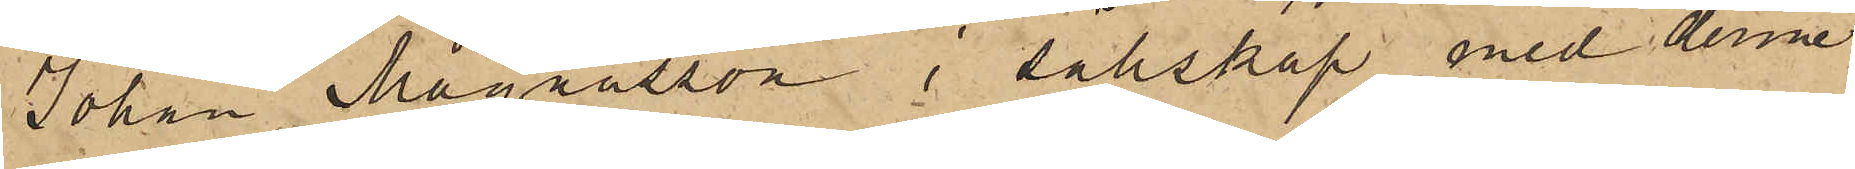Johan Magnusson i sällskap med denne
